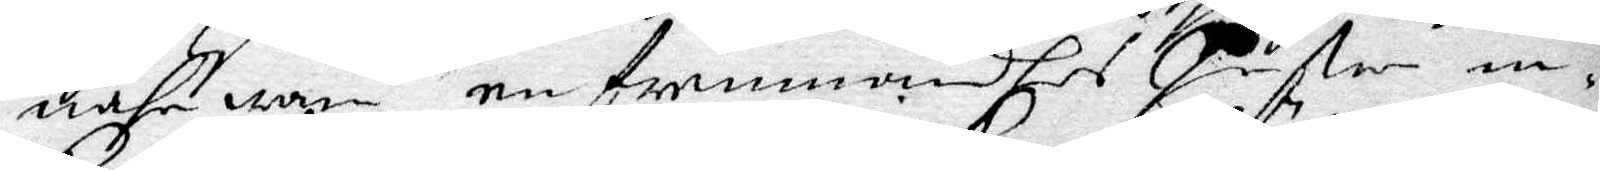nährwaru en fremmandhes hustru in¬
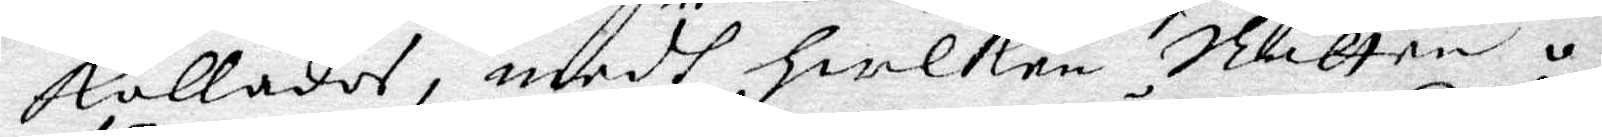kallades medh hwilken Rätten o¬
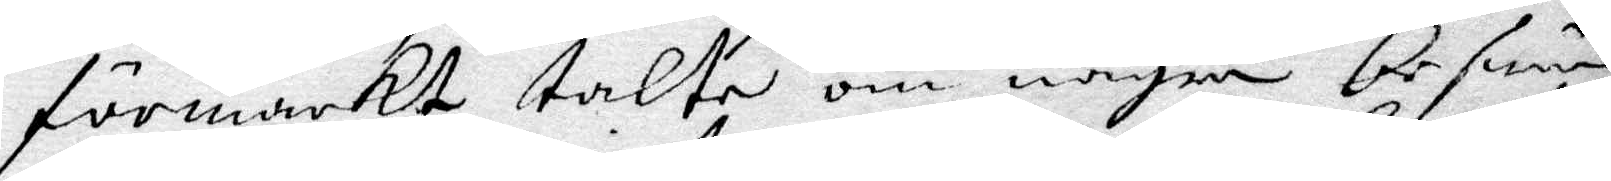förärckt talte om någon beswär
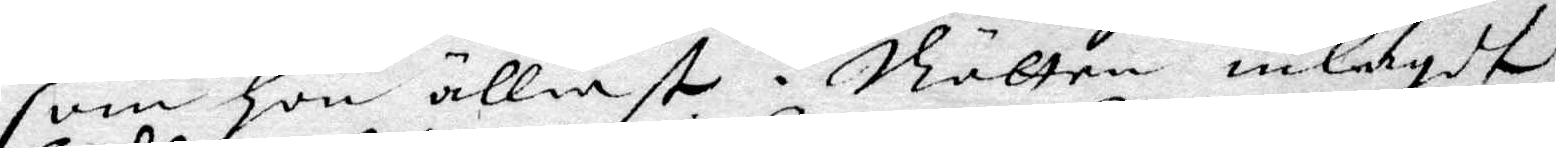som hon älliest  i Rätten inlagdt
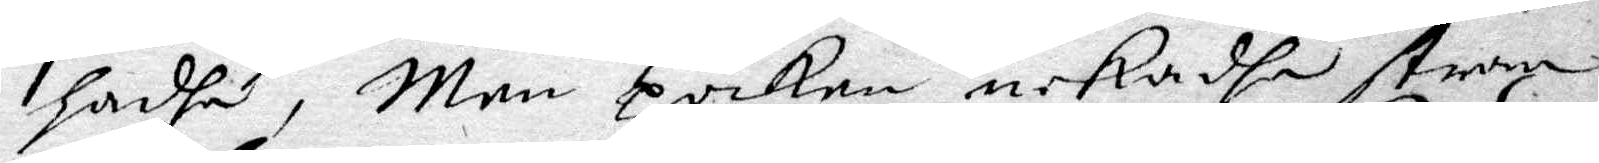hadhe, Men poiken nekadhe straxt
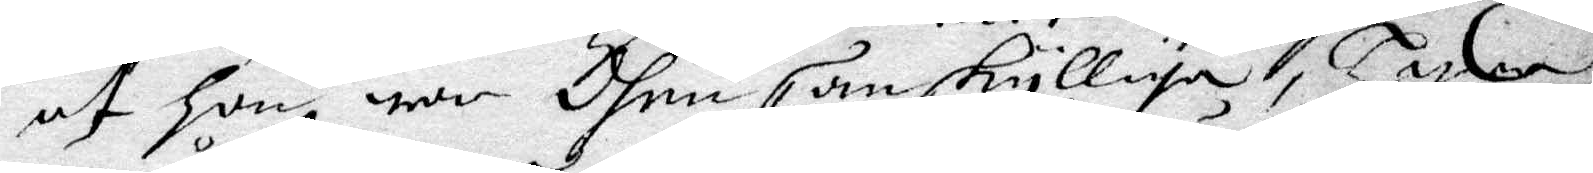at hon war dhen san skylliga, hwar
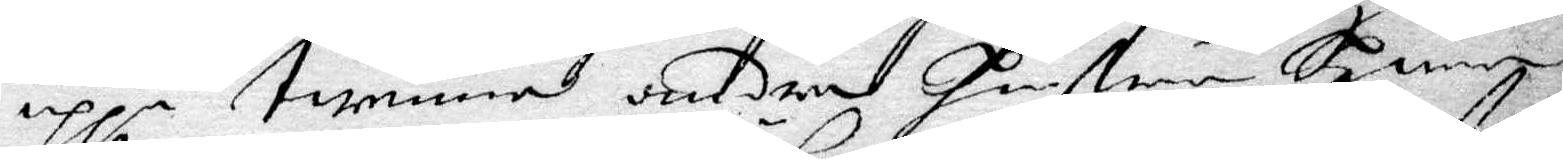uppå twenne andra hustrur hwar
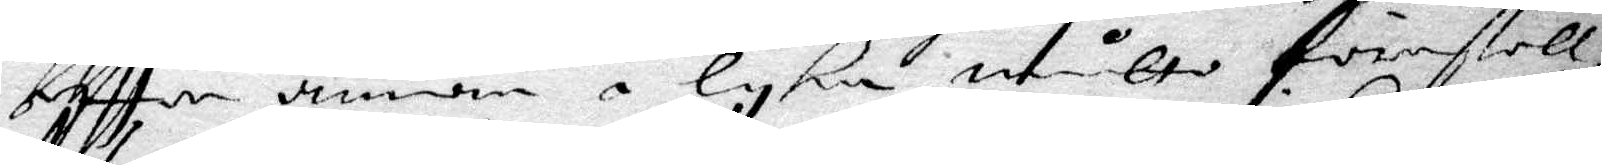eftter aannan i lyka måtto förestell¬
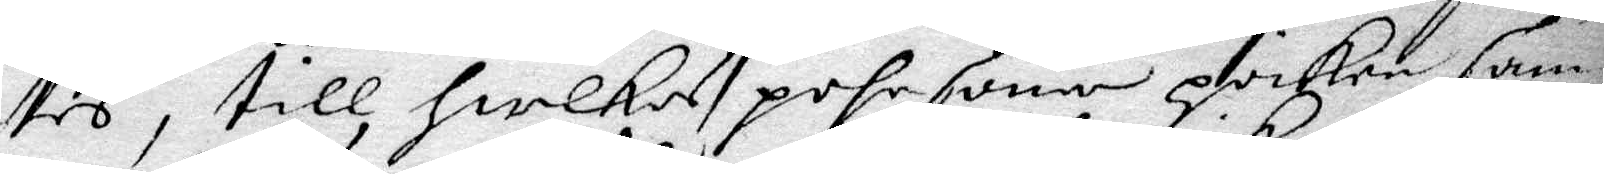des, till heilkas pehrsoner hwilken sam¬
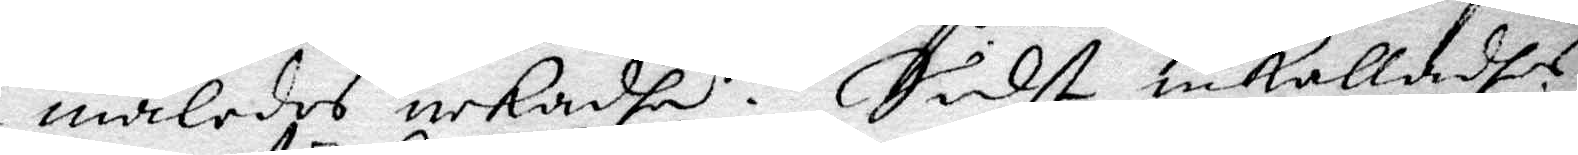maledes nekadhe. Sidst inkalladhes
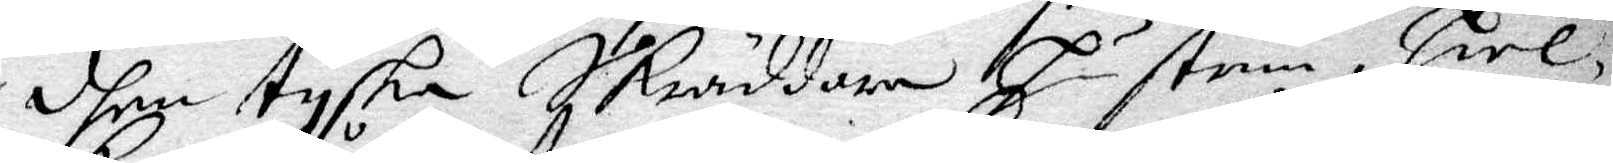dhen tyska Skräddare hustrun hwil¬
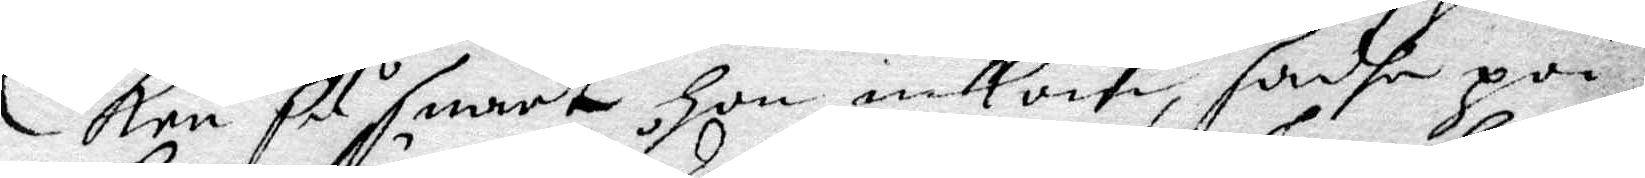ken så snart hon inkom, sadhe poi¬
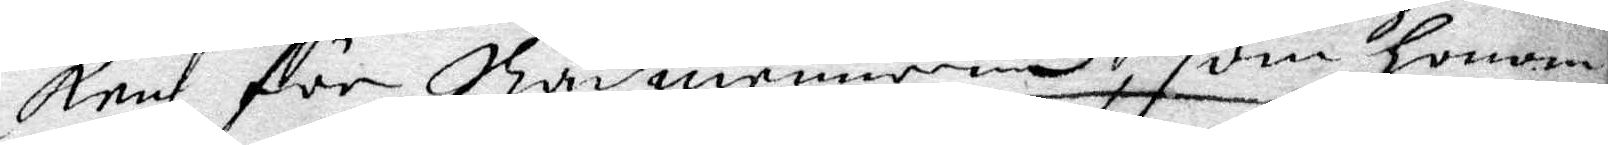ken för Rådmennerne, som honom
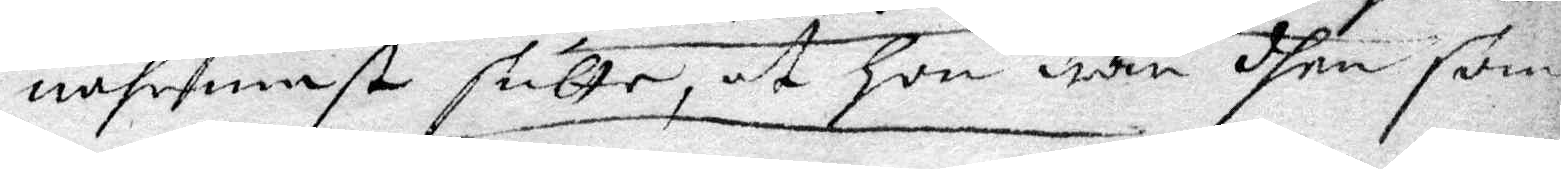nährmast sutte, at hon war dhen som
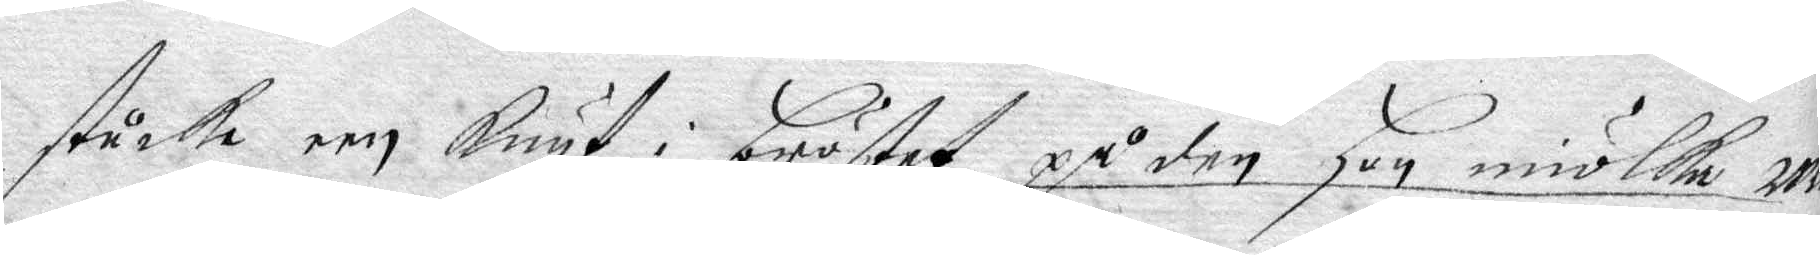stucke een Knyf i bröstet, på den hon miölka wa¬
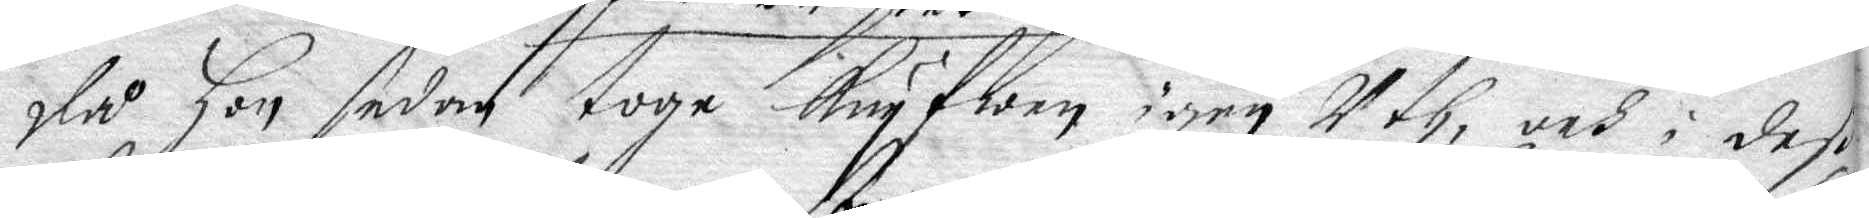då hon sedan toge Knywen igen Uth, och i det
